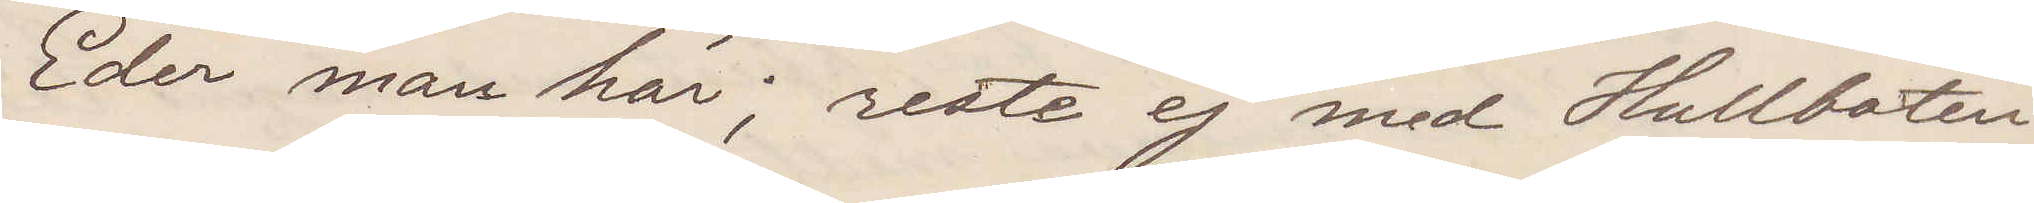Eder man här; reste ej med Hullbåten
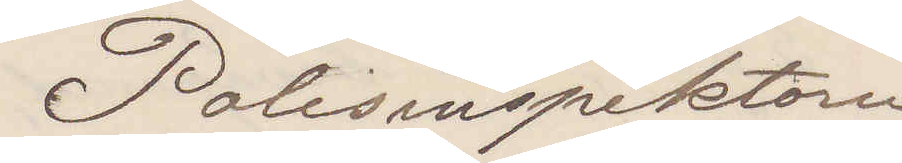Polisinspektorn
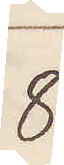8
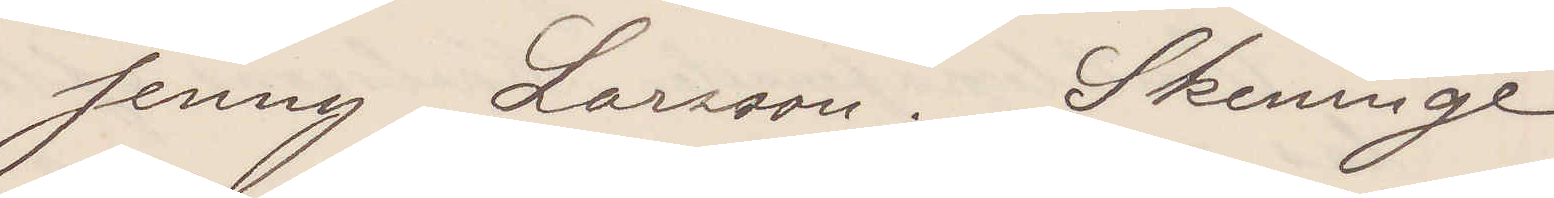Jenny Larsson. Skeninge
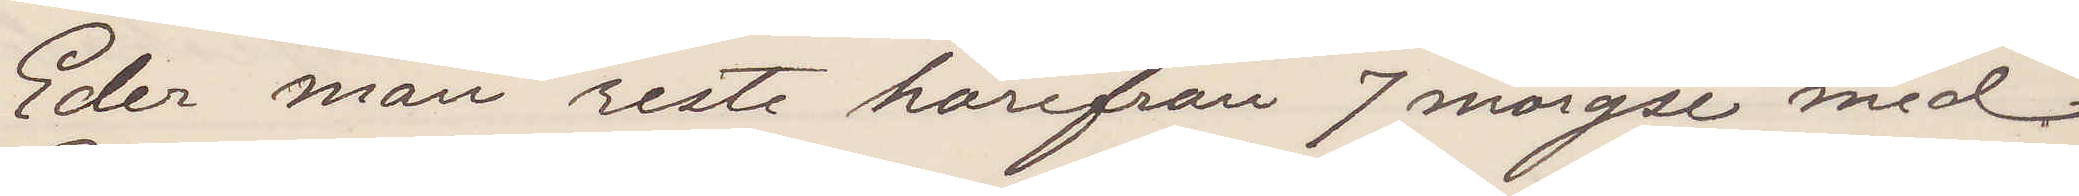Eder man reste härifrån 7 morgon med
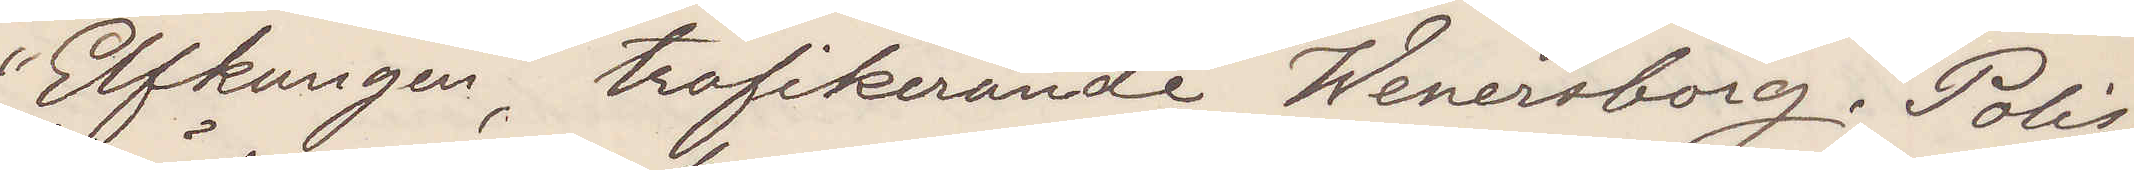"Elfkungen", trafikerande Wenersborg. Polis¬
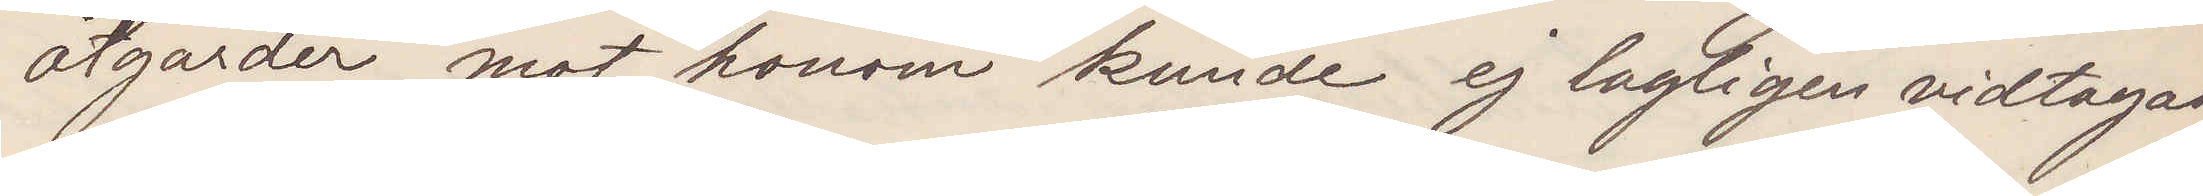åtgärder mot honom kunde ej lagligen vidtagas
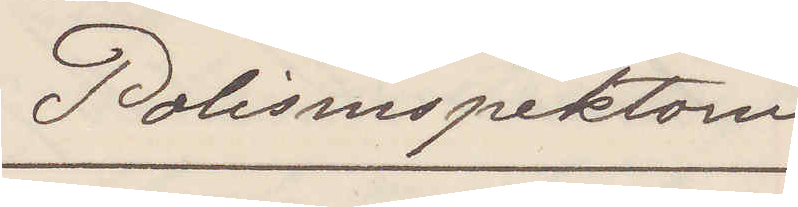Polisinspektorn
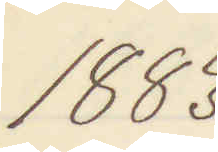1883
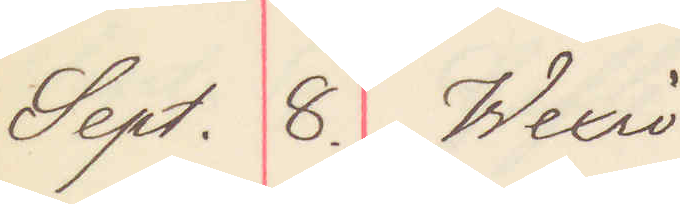Sept. 8. Wexiö
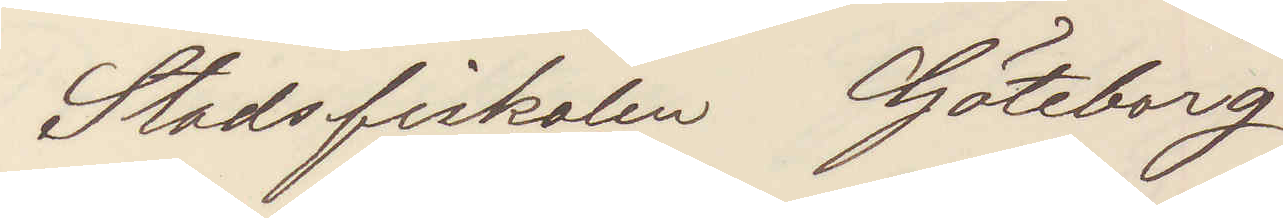Stadsfiskalen Göteborg
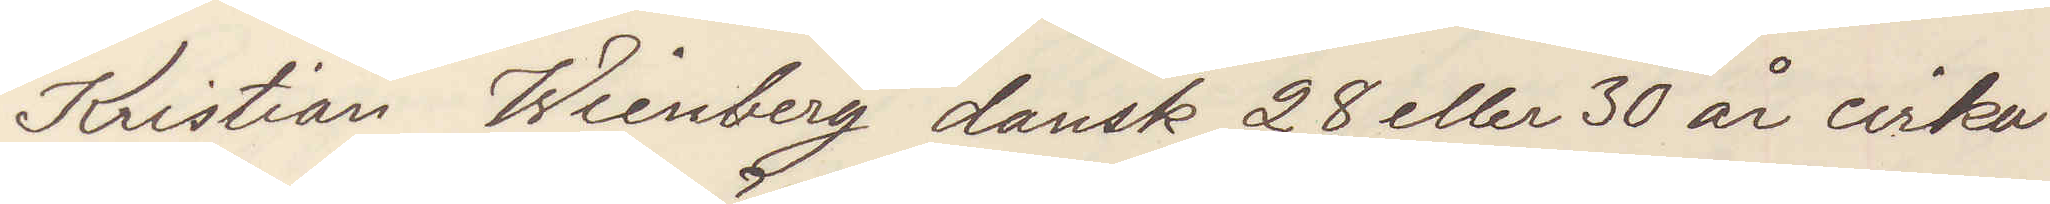Kristian Wienberg dansk 28 eller 30 år cirka
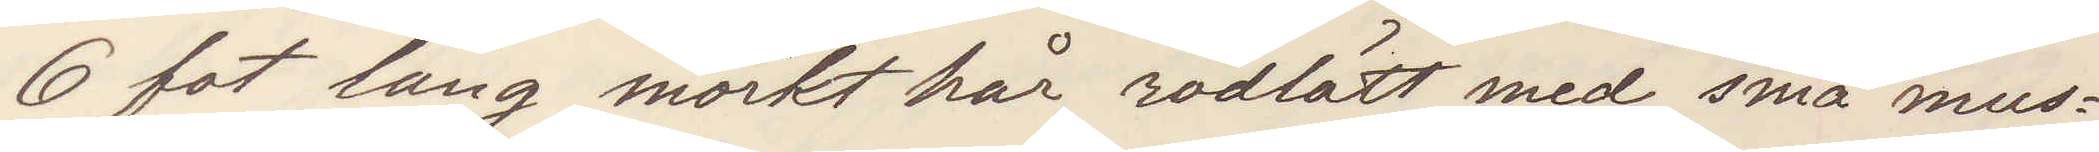6 fot lång mörkt hår rödlätt med små mus¬
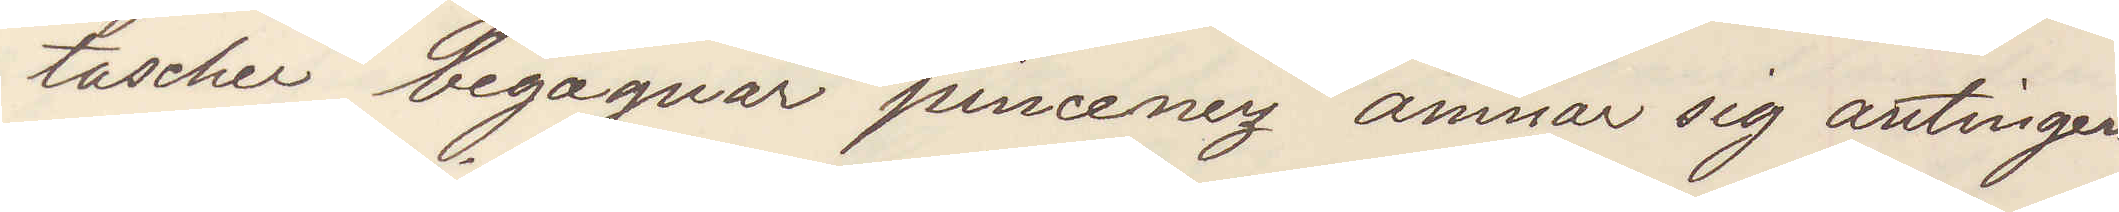tascher begagnar pinceney ämnar sig antingen
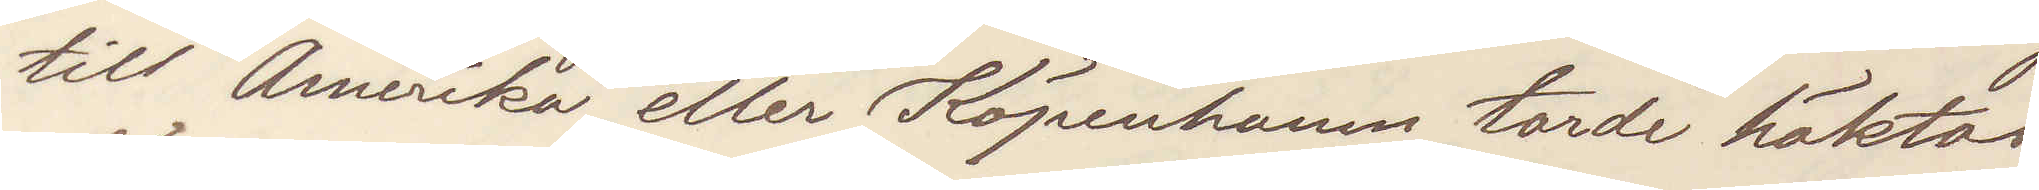till Amerika eller Köpenhamn torde häktas
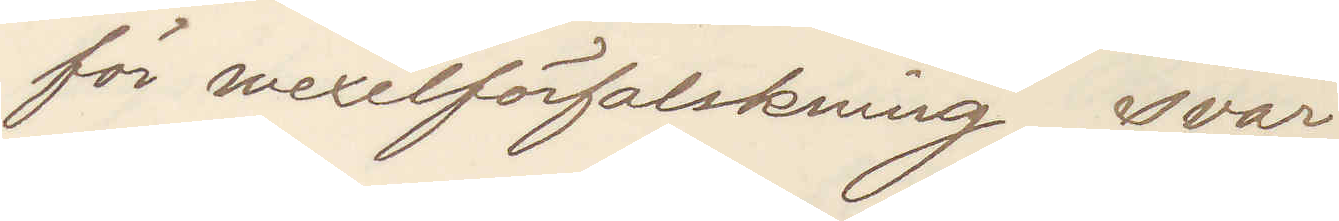för wexelförfalskning svar.
